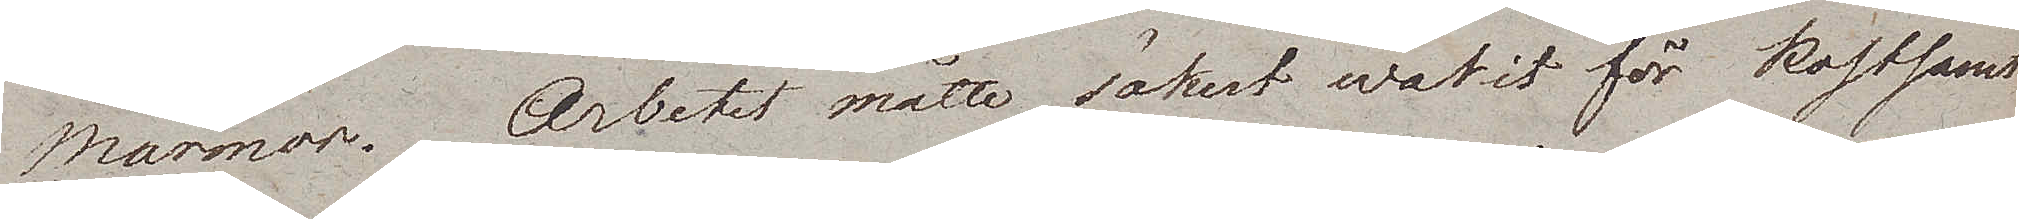Marmor. Arbetet måtte säkert warit för kostsamt
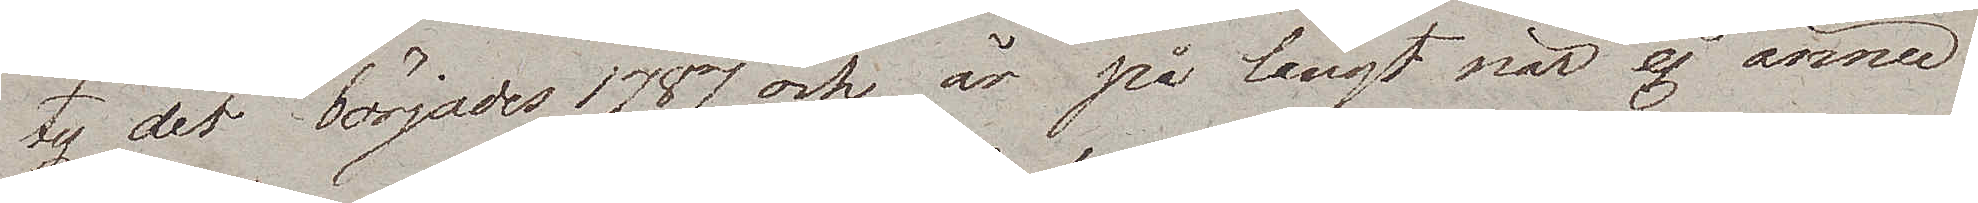ty det börjades 1787 och är på långt när ej ännu
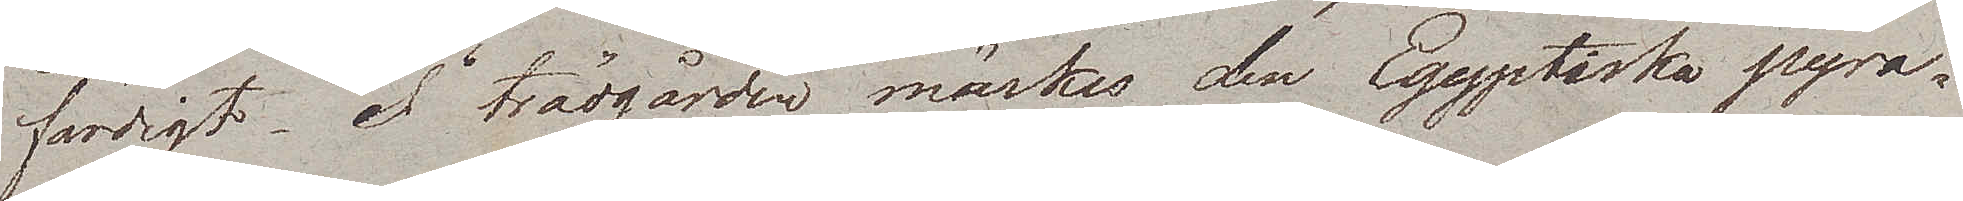färdigt. I trädgården märkes den Egyptiska pyra¬
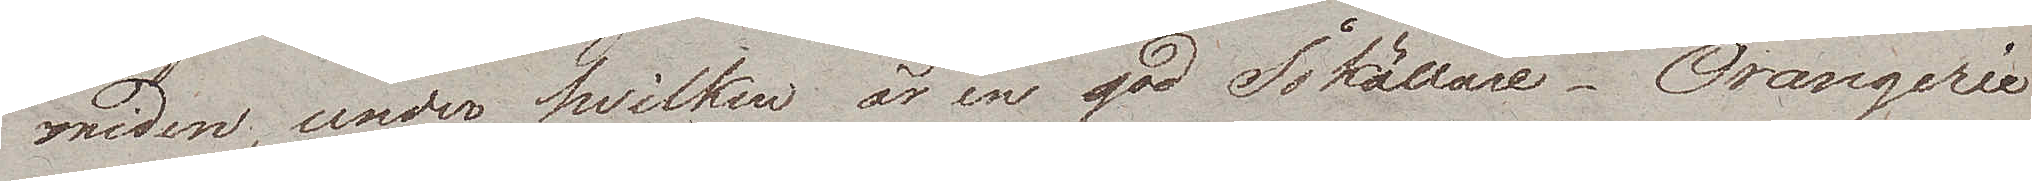miden, under hvilken är en god Iskällare, Orangerie¬
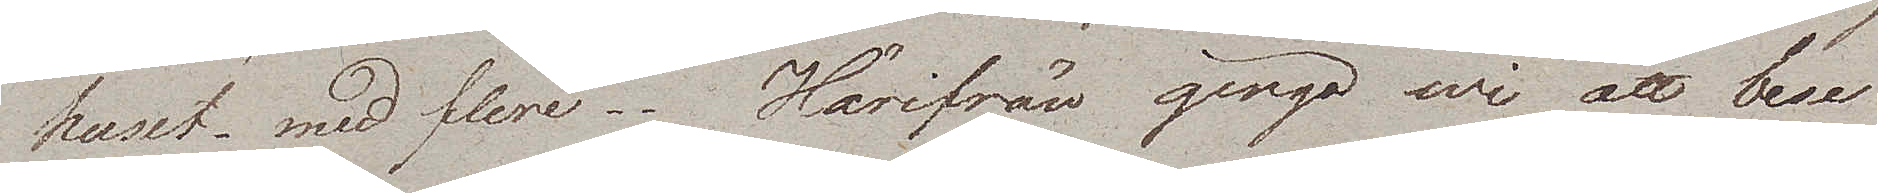huset med flere. Härifrån gingo wi att bese
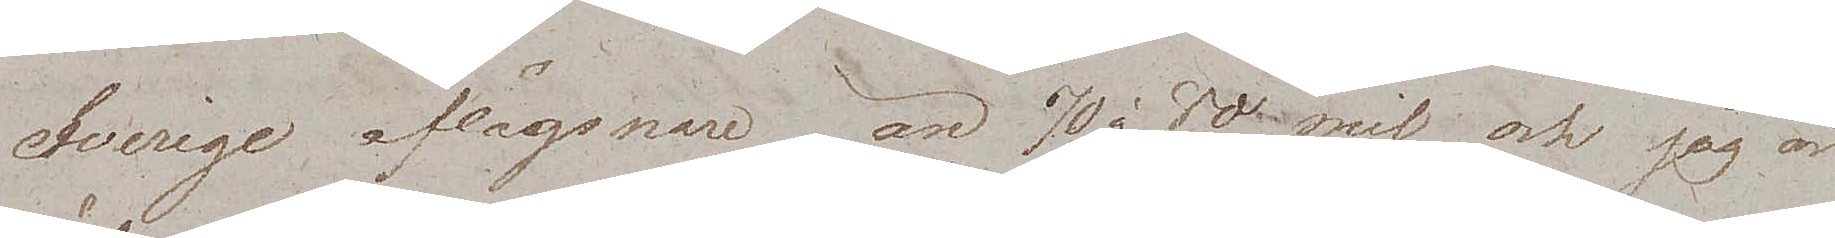Sverige aflägsnare än 70 à 80 mil och jag är
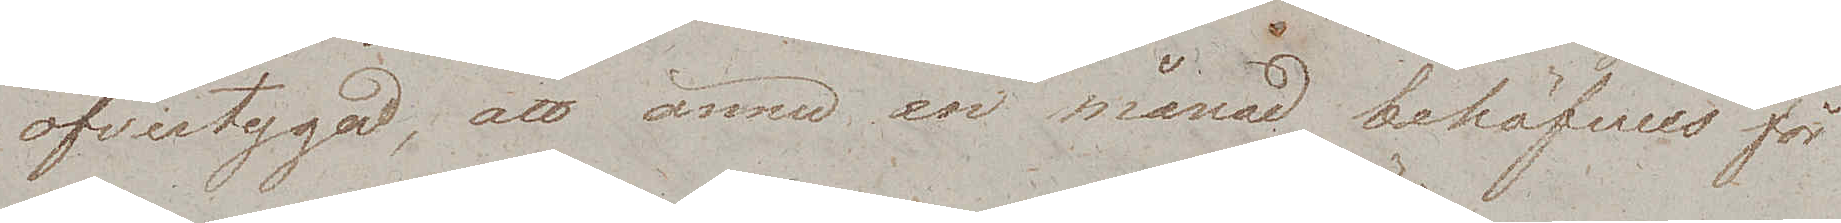öfvertygad, att ännu en månad behöfves för
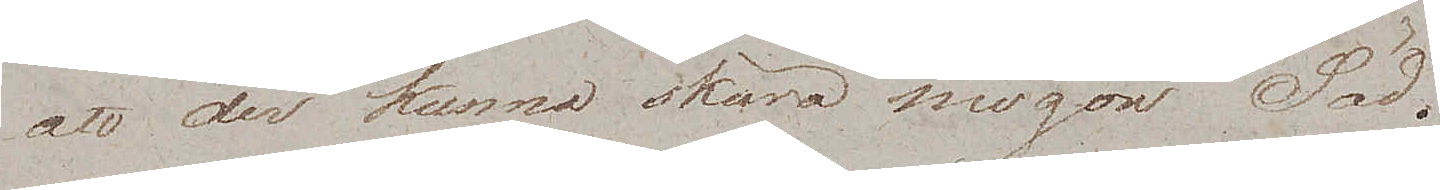att der kunna skära mogen Säd.
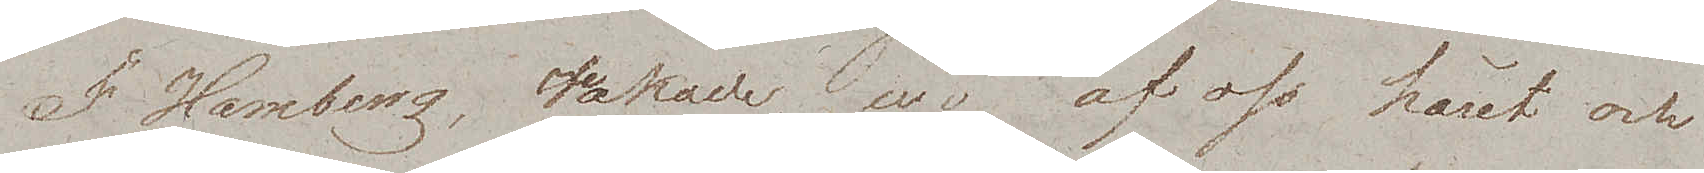I Hamburg, rakade wi af oss håret och
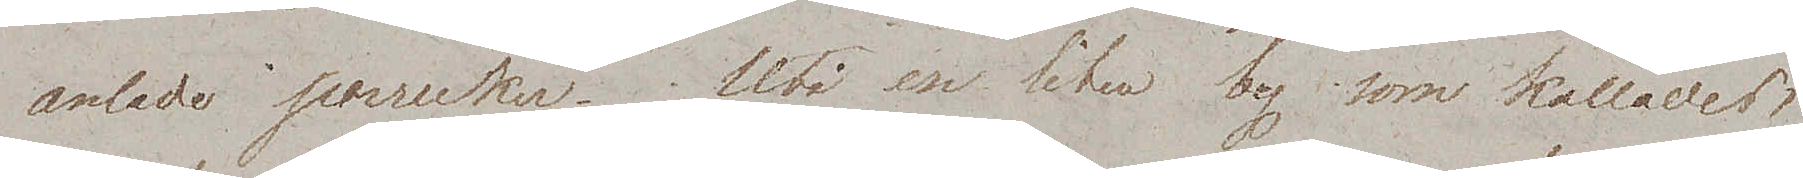anlade perrucker. Uti en liten by som kallades
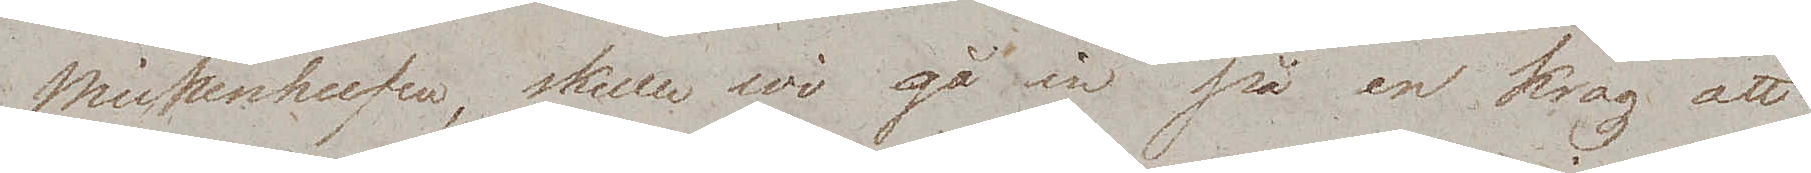Mickenhufen, skulle wi gå in på en krog att
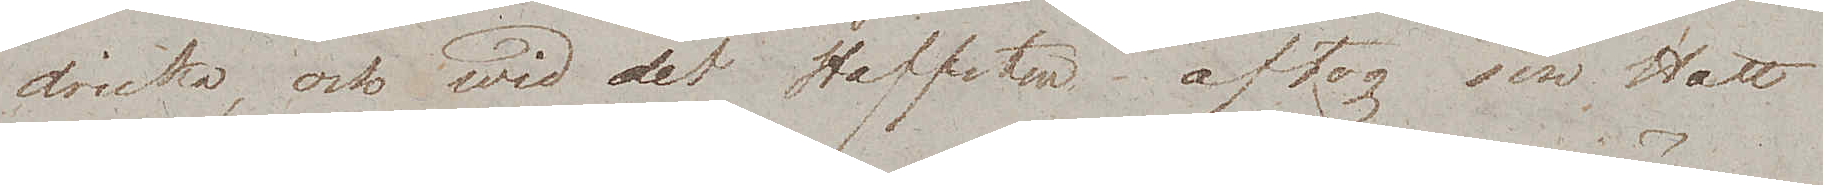dricka, och wid det Hoffsten aftog sin Hatt
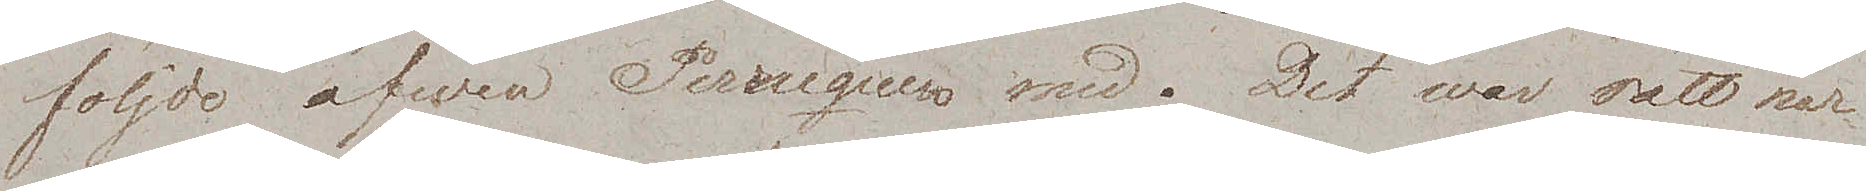följde äfwen Perruquen med. Det war rätt nar¬
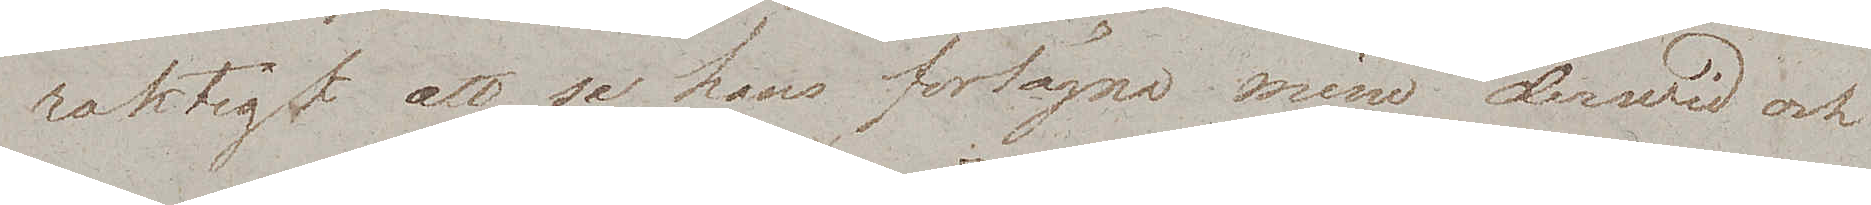raktigt att se hans förlägna min derwid och
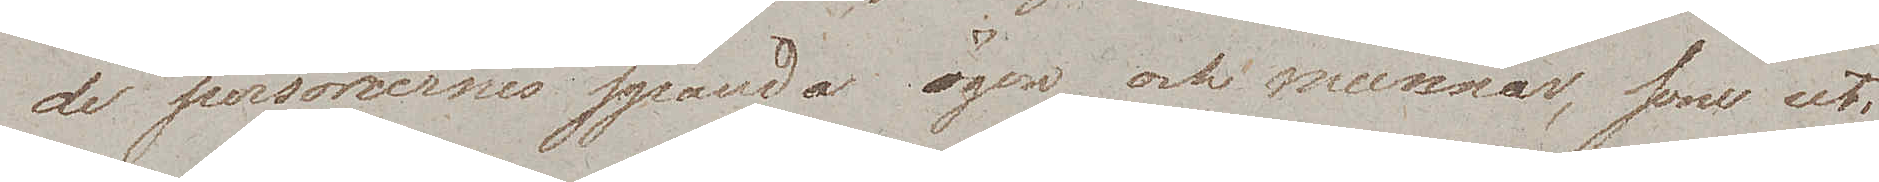de personernes spända ögon och munnar, som uti
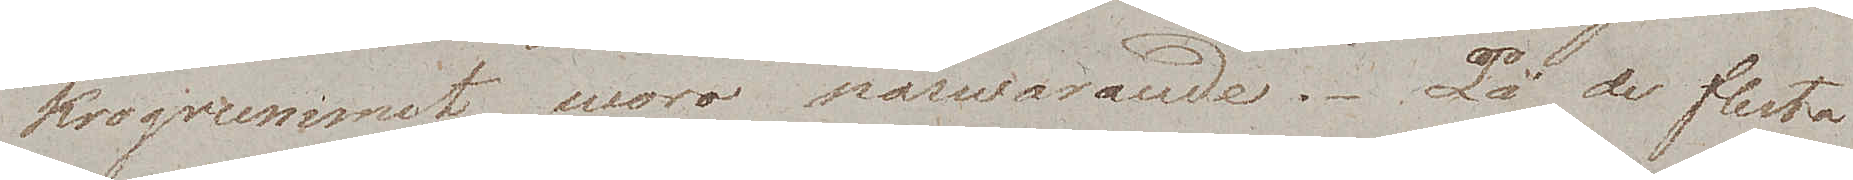krogrummet woro närwarande. På de flesta
